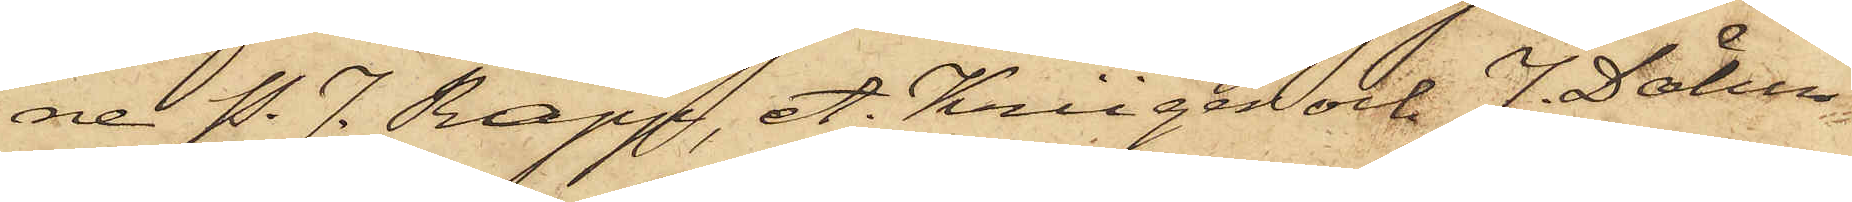ne P. J. Rapp, A. Krüger och J. Dähn
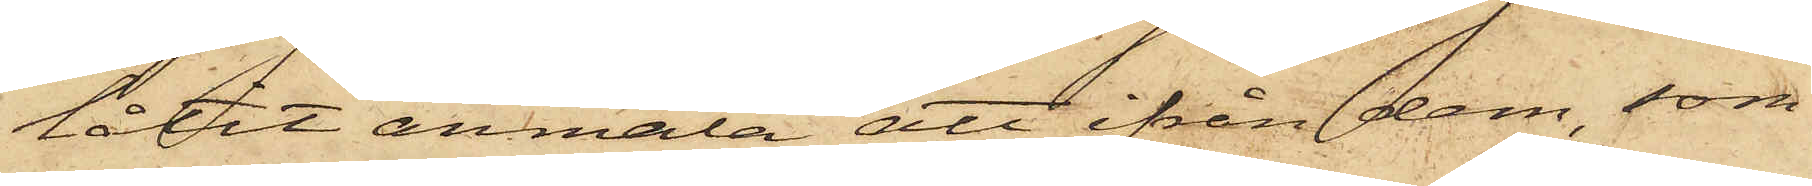låtit anmäla att ifrån dem, som
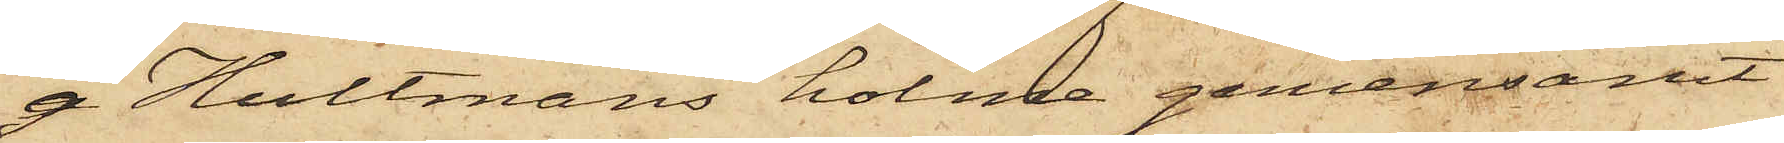å Hultmans holme gemensamt
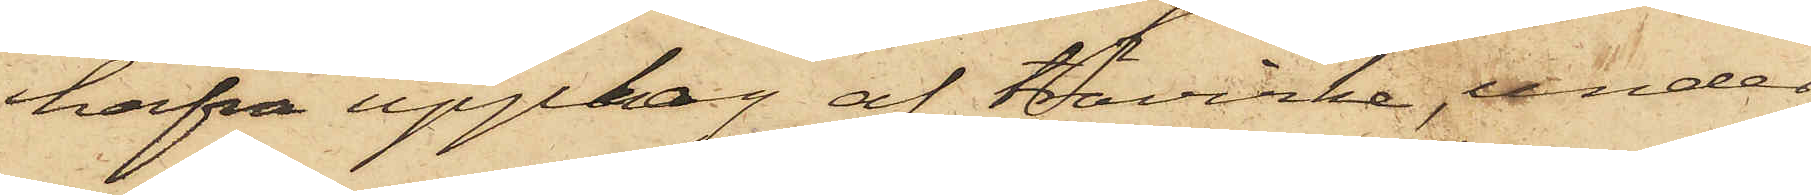hafva upplag af trävirke, under
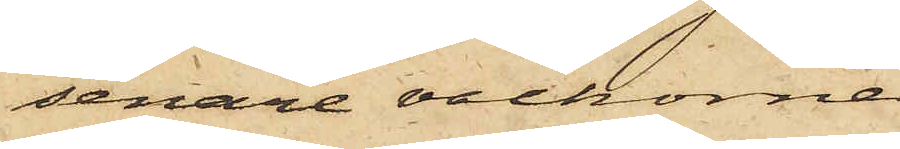senare veckorna
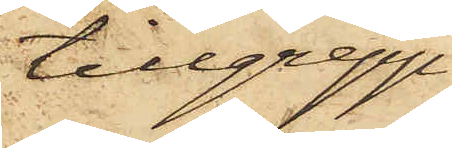tillgrepp
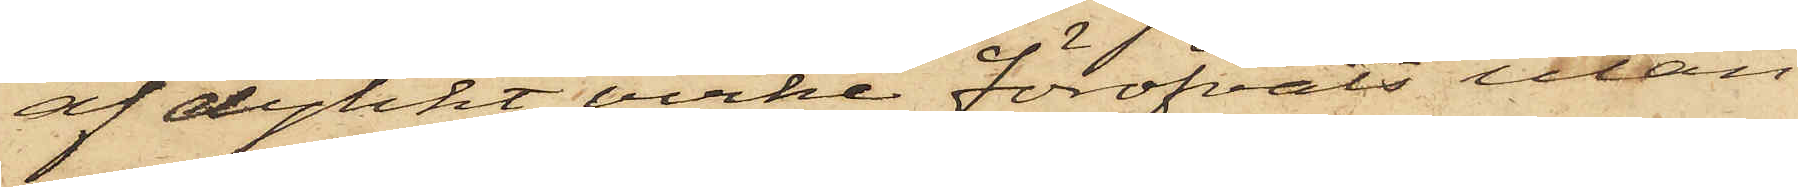af dylikt virke föröfvats utan
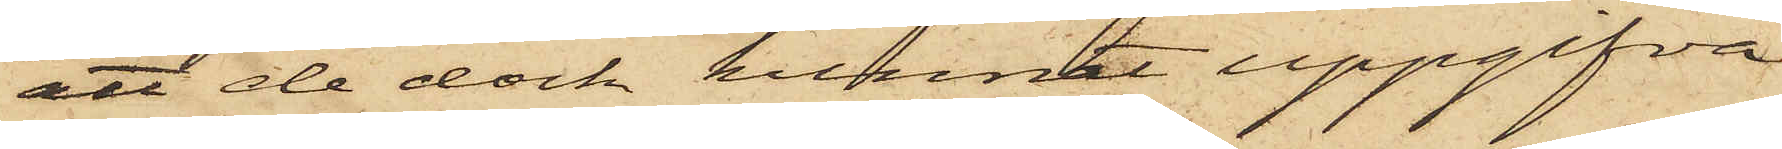att de dock kunnat uppgifva
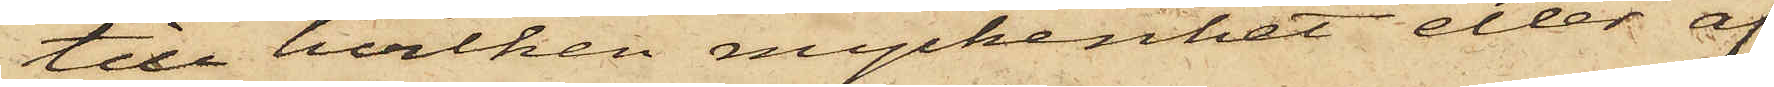till hvilken myckenhet eller af
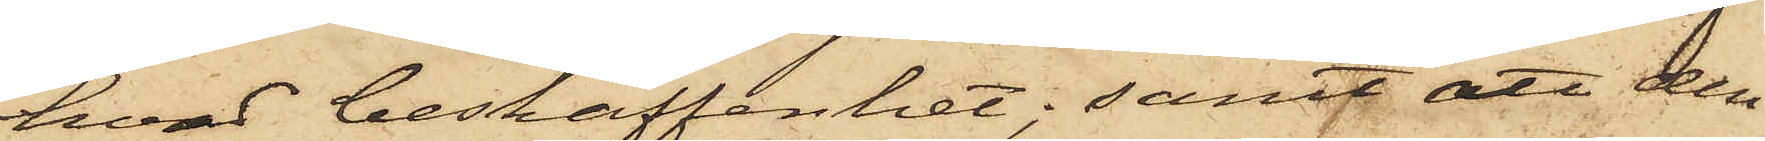hvad beskaffenhet; samt att den
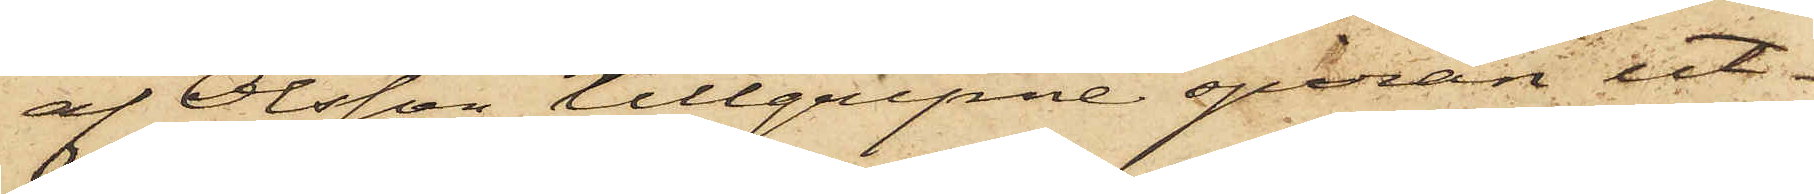af Olsson tillgripne spiran ut¬
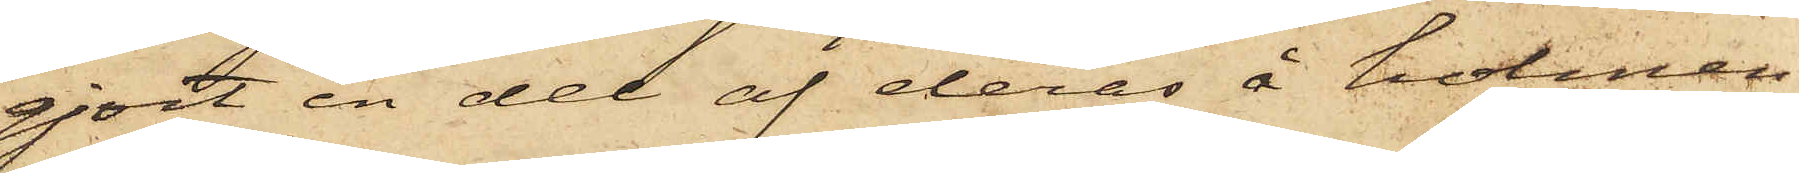gjort en del af deras å holmen
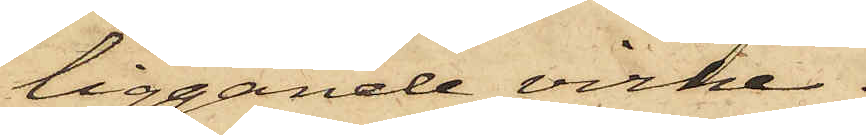liggande virke.
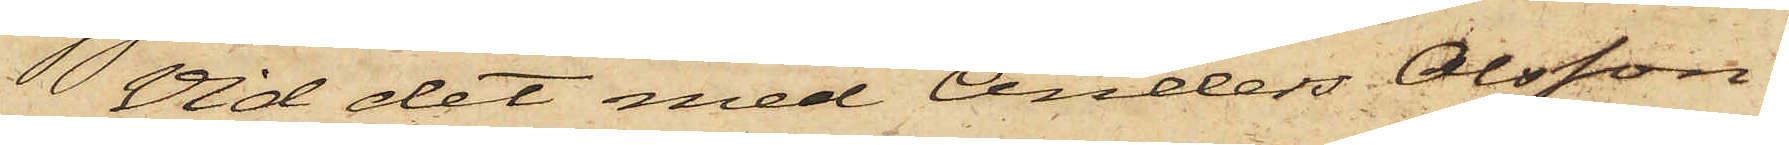Vid det med Anders Olsson
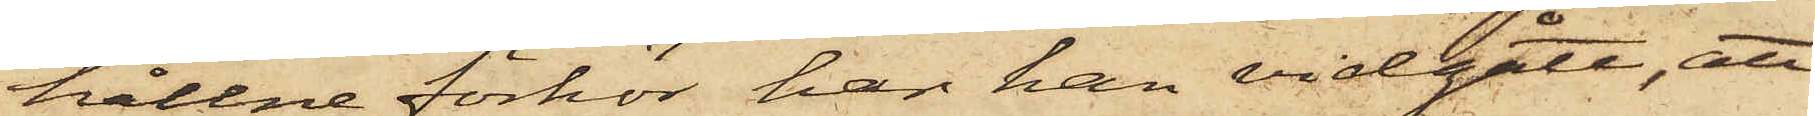hållne förhör han han vidgått, att
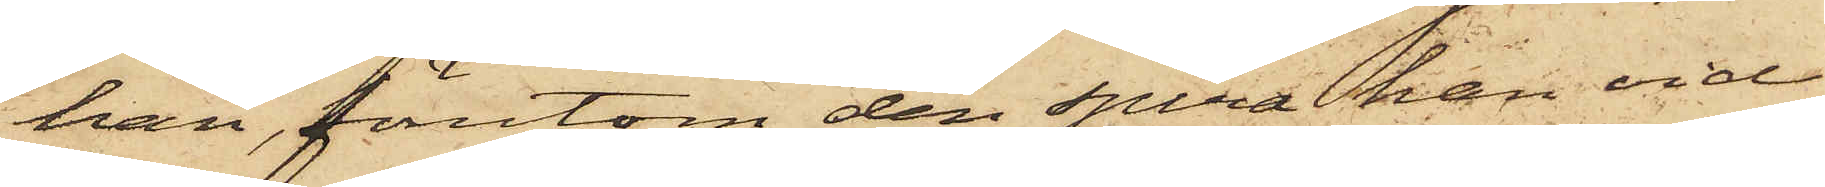han, föutom den spira han vid
